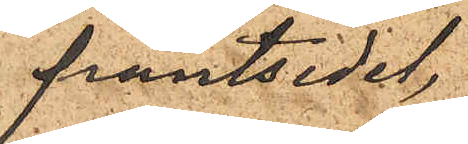pantsedel,
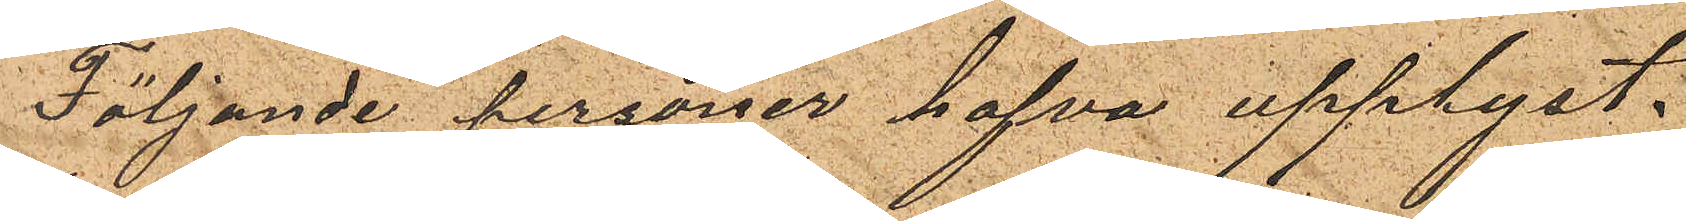Följande personer hafva upplyst.
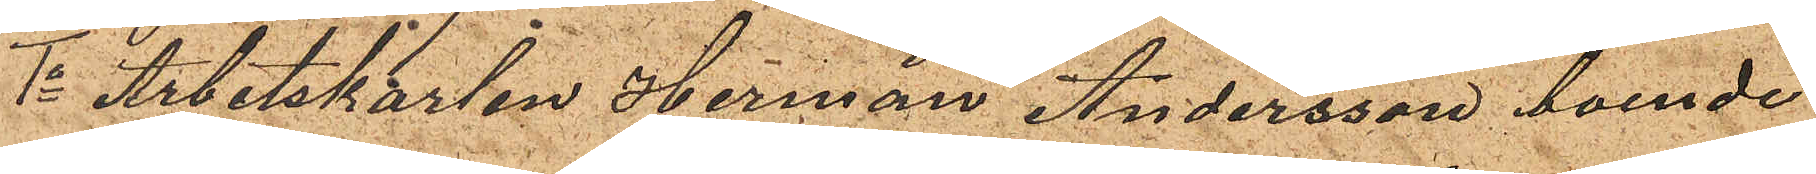1o Arbetskarlen Herman Andersson, boende
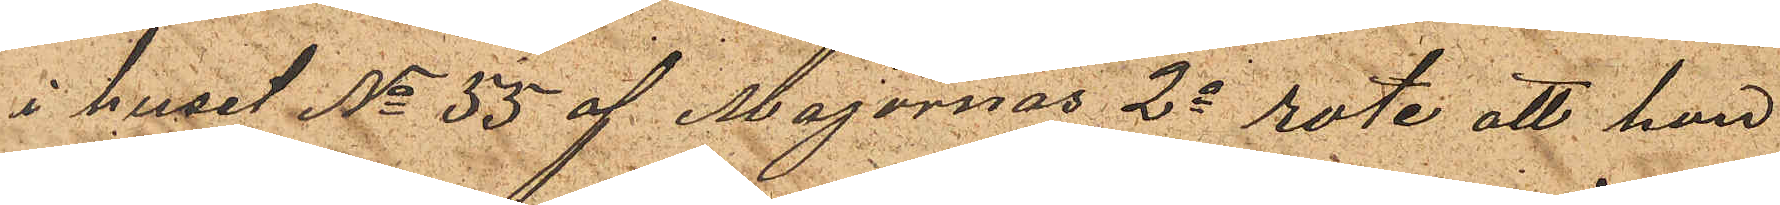i huset No 55 af Majornas 2a rote, att han
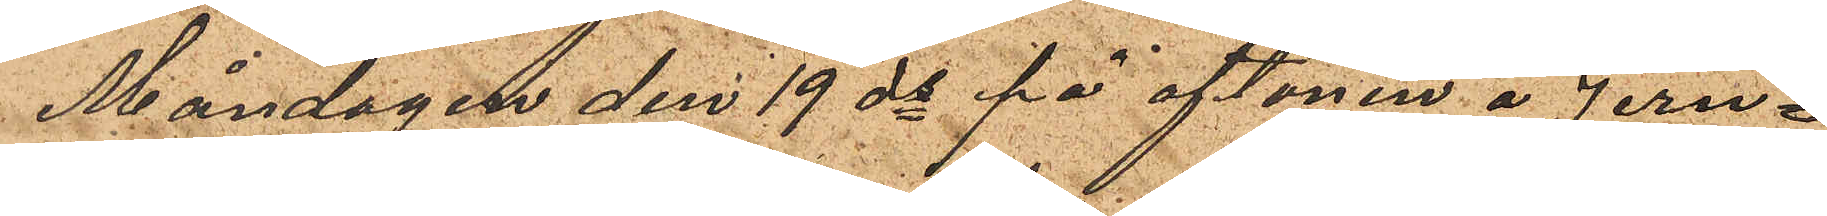Måndagen den 19 ds på aftonen å Jern¬
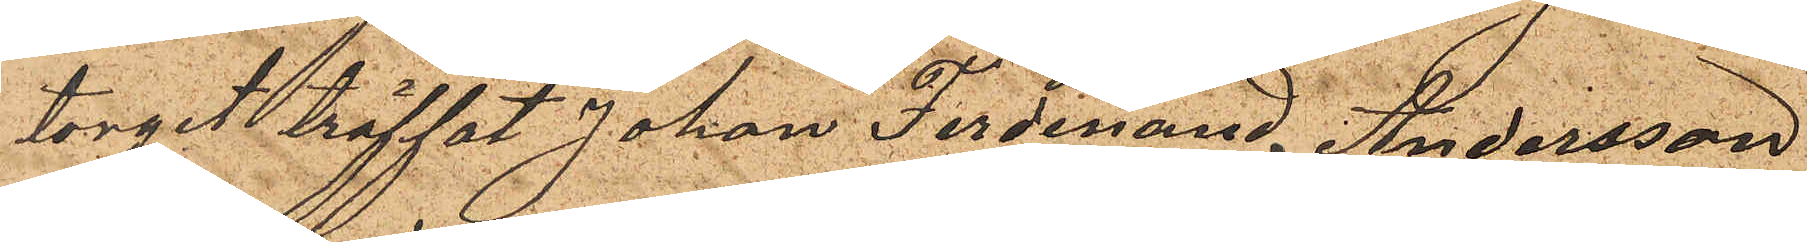torget träffat Johan Ferdinand Andersson
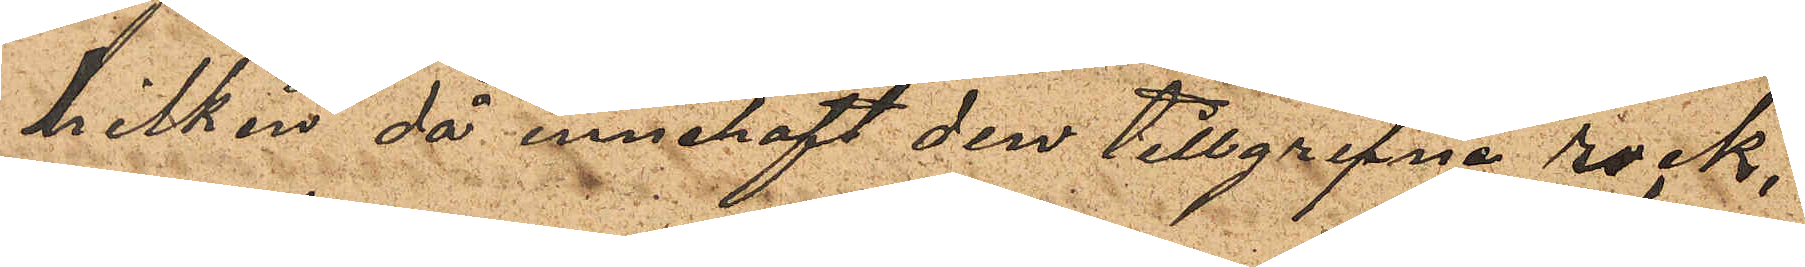hilken då innehaft den tillgripne rock,
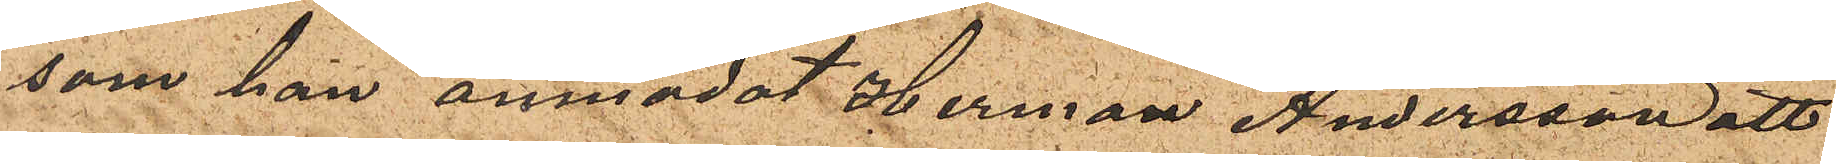som han anmodat Herman Andersson att
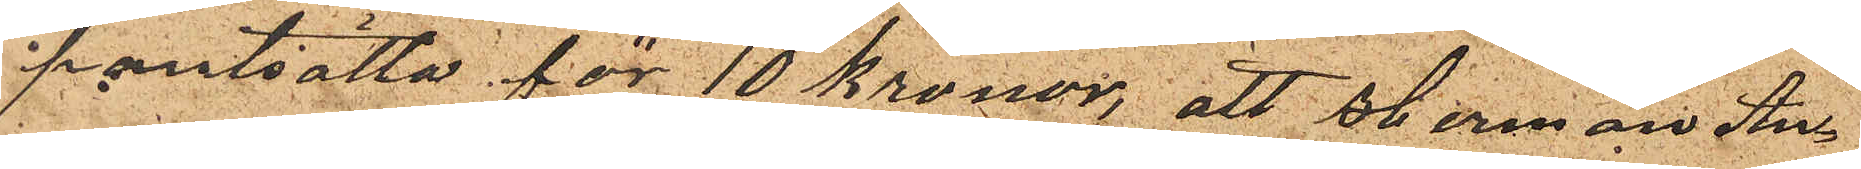pantsatta för 10 kronor, att Herman An¬
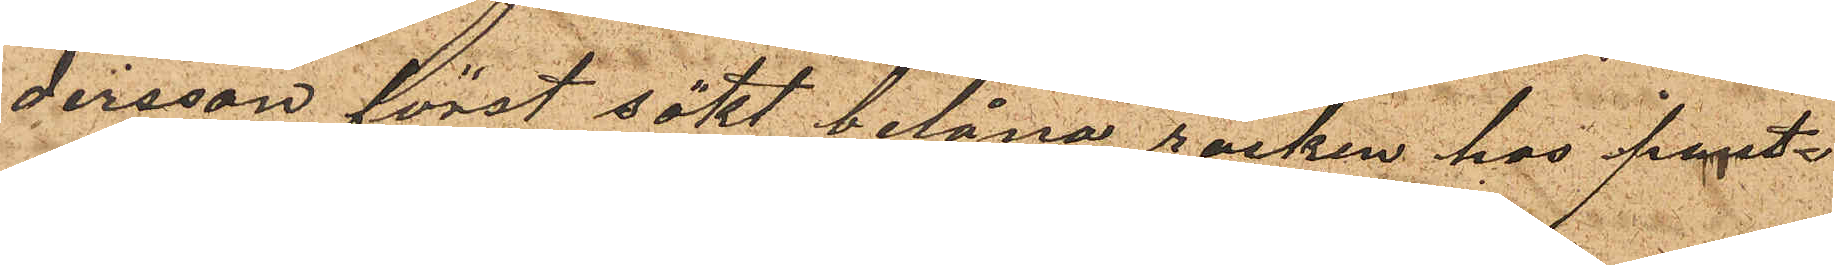dersson först sökt belåna rocken hos pant¬
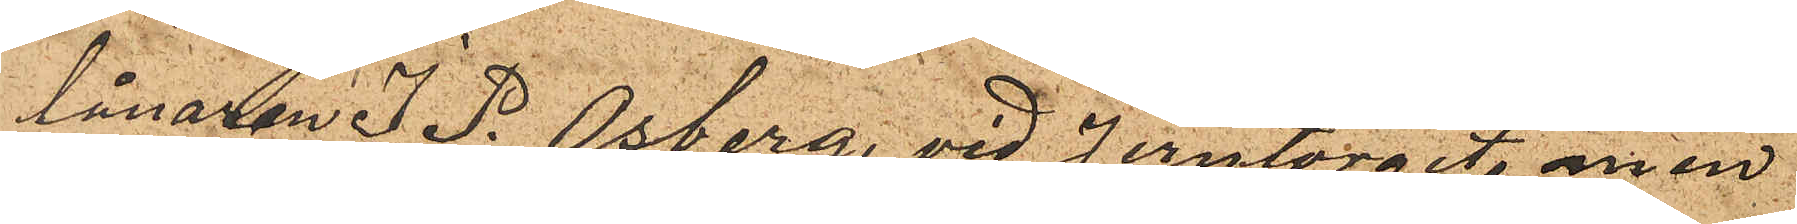lånaren J. P. Osberg, vid Jerntorget, men
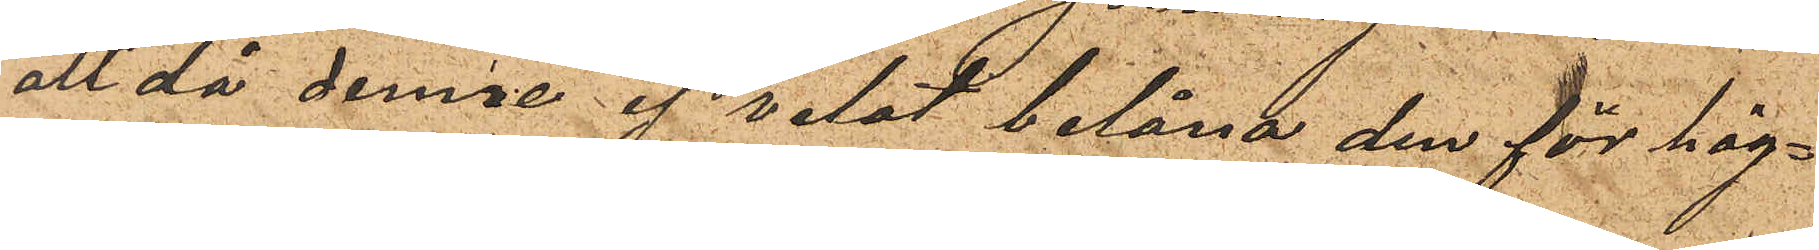att då denne af velat belåna den för hög¬
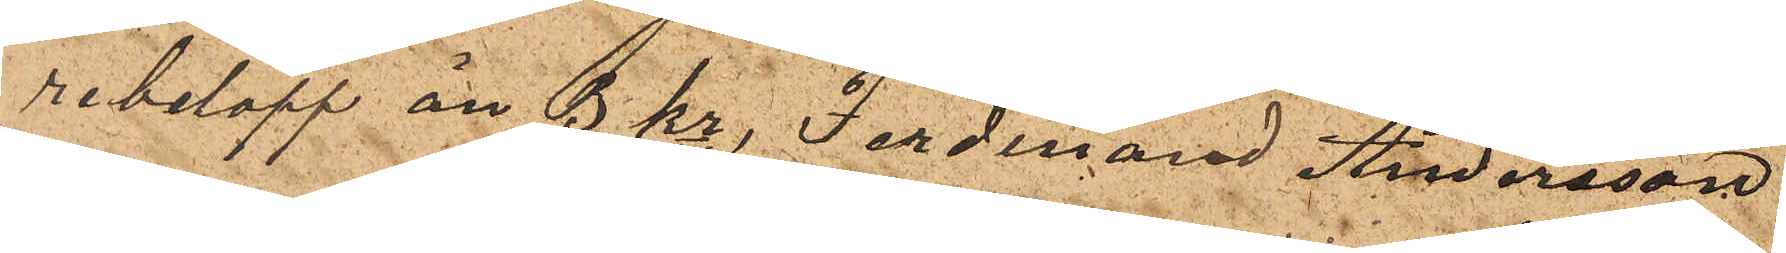re belopp än 3 kr, Ferdinard Andersson
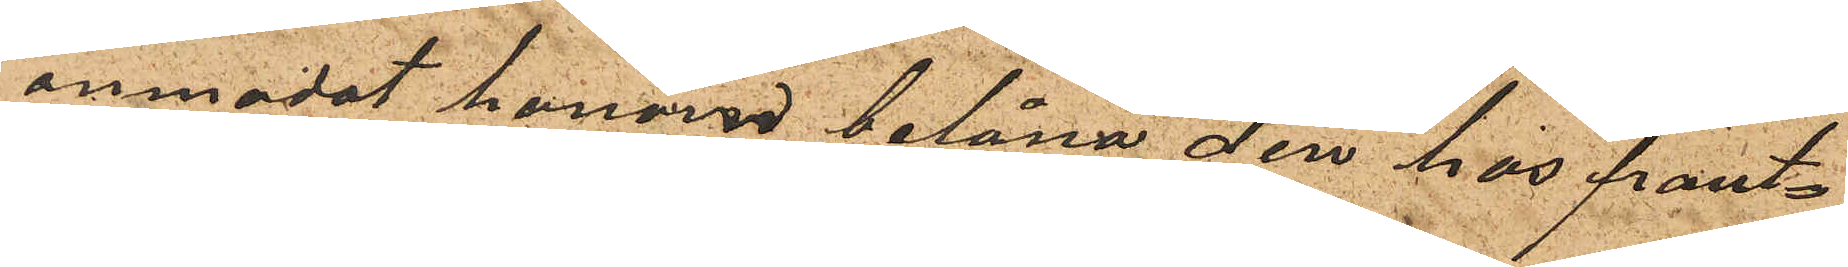anmodat honom belåna den hos pant¬
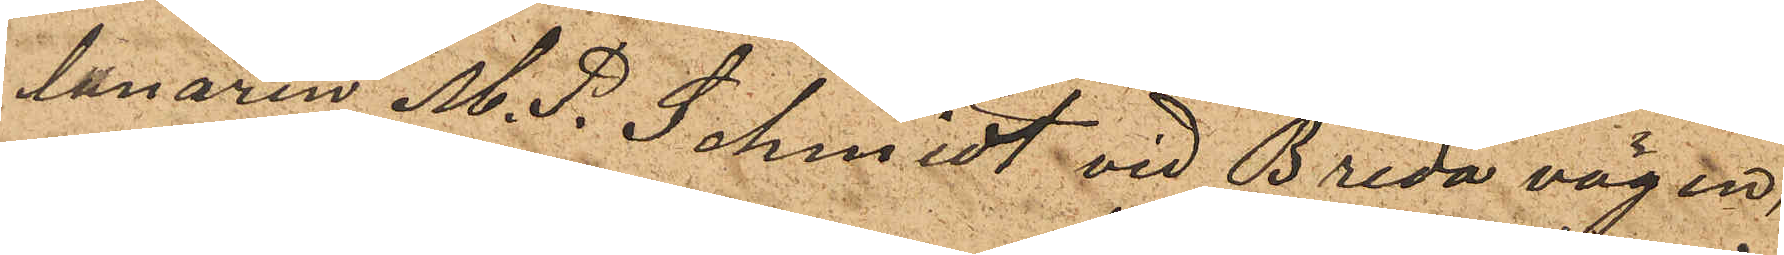lånaren M. P. Schmidt vid Breda vägen,
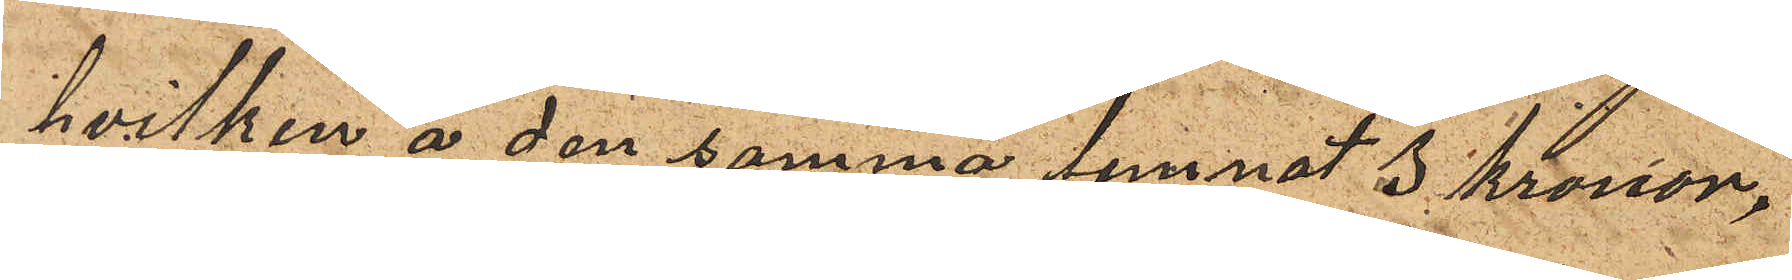hvilken å den samma lemnat 3 kronor,
